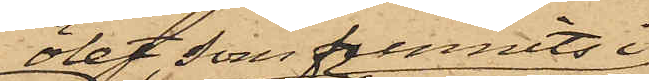ölet, som funnits i
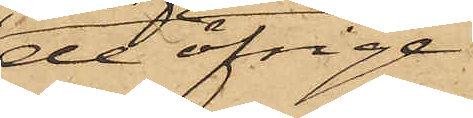de öfriga
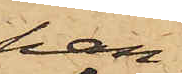han 
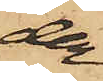der¬
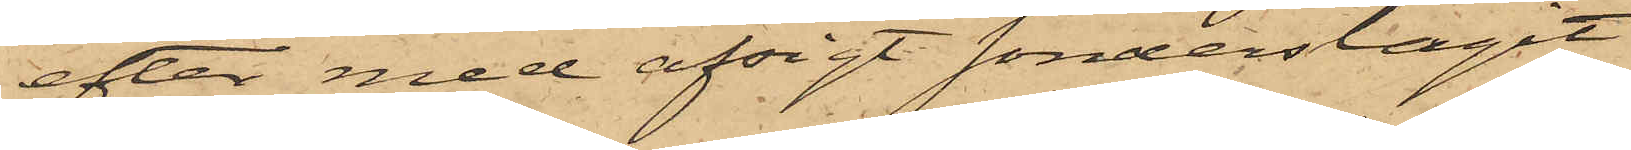efter med afsigt sönderslagit
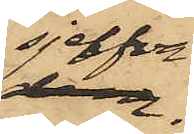sjelfva
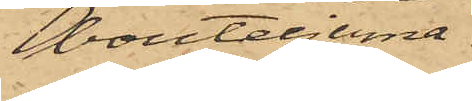bouteljerna.
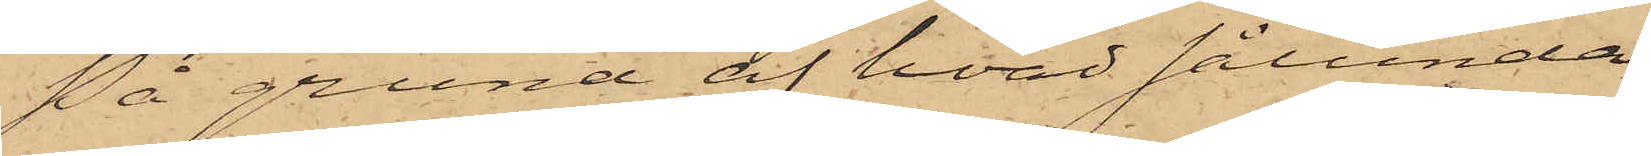På grund af hvad sålunda
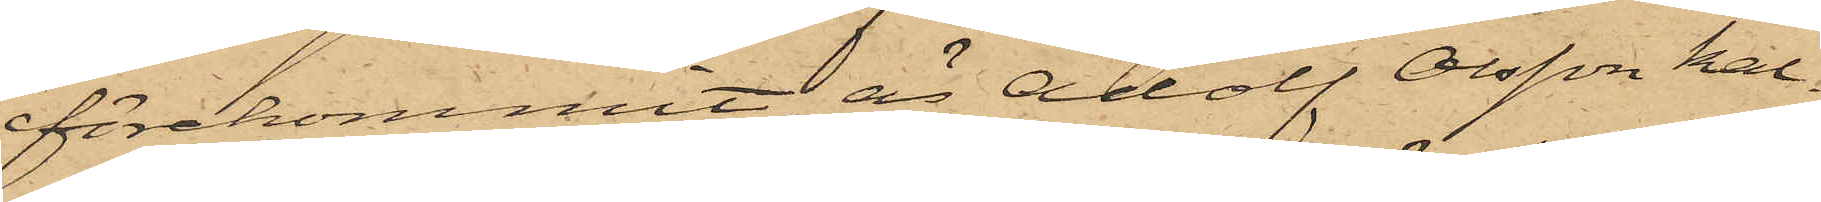förekommit, är Adolf Olsson kal¬
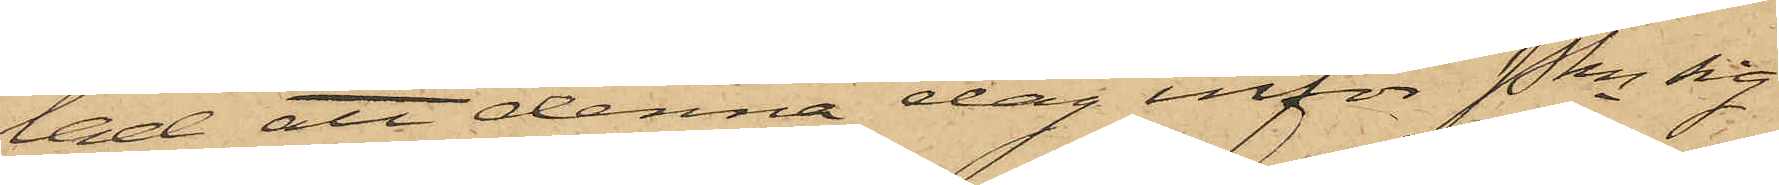lad att denna dag inför Pkn sig
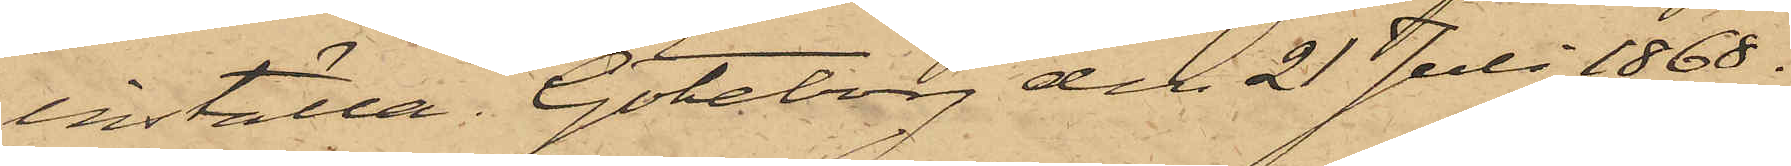inställa. Göteborg den 21 Juli 1868.
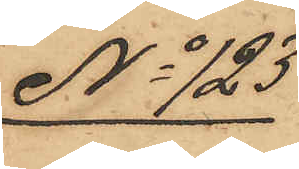No 123
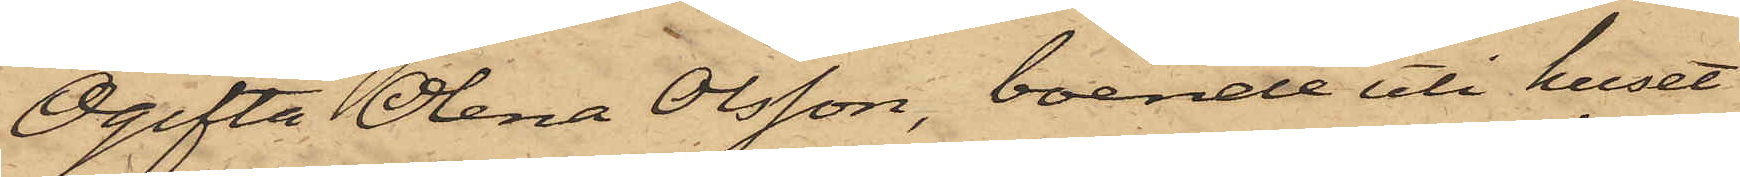Ogifta Olena Olsson, boende uti huset
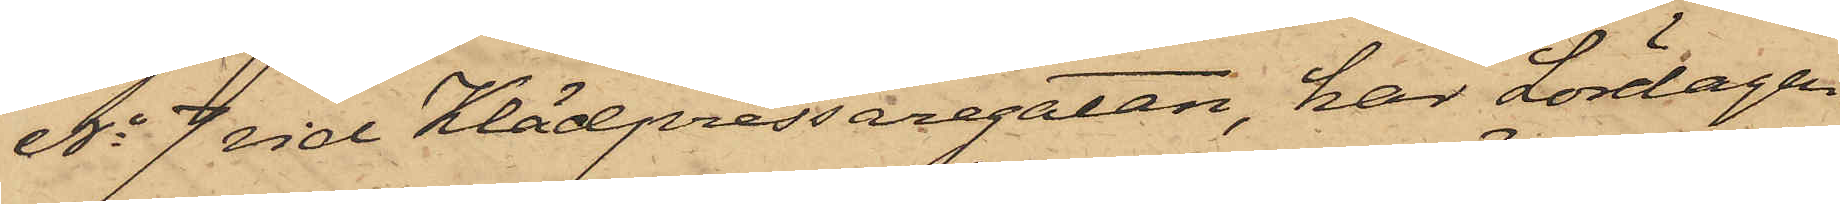No 7 vid Klädpressaregatan, har Lördagen
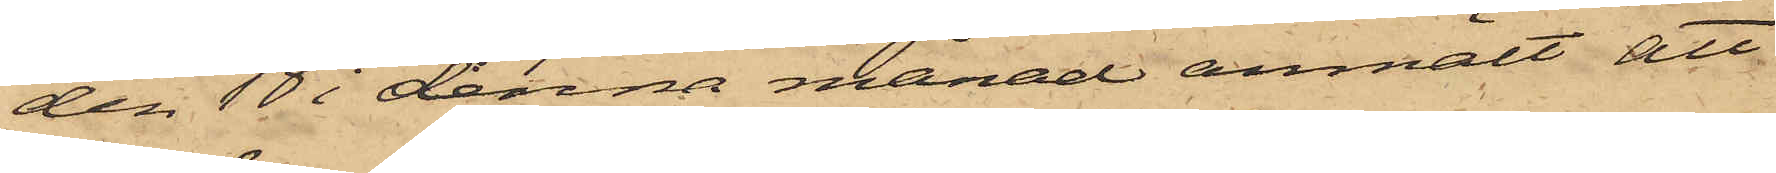den 10 i denna månad anmält att
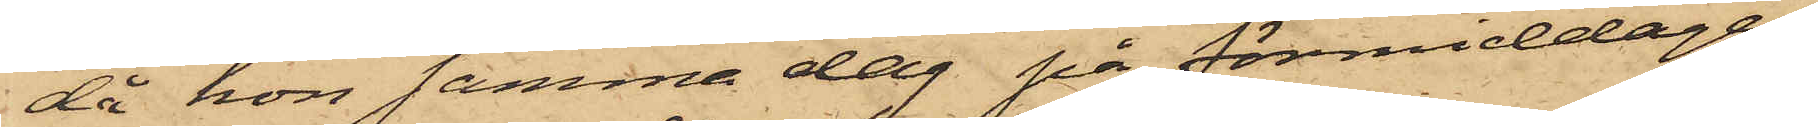då hon samma dag på förmiddagen,
